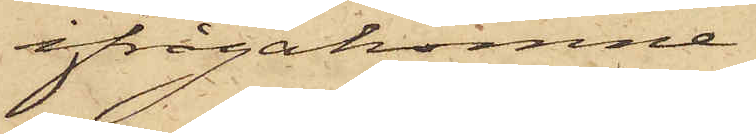ifrågakomne
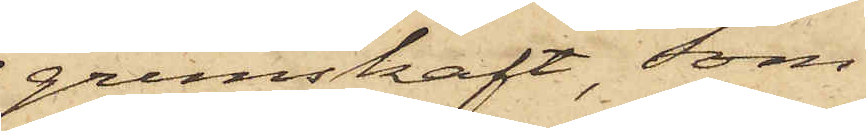grimskaft, som
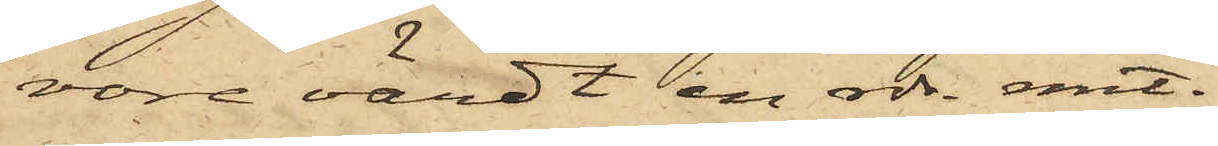vore värdt en rdr. rmt.
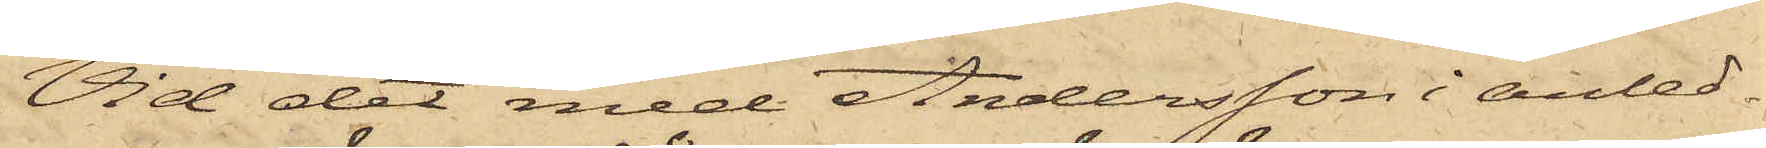Vid det med Andersson i anled¬
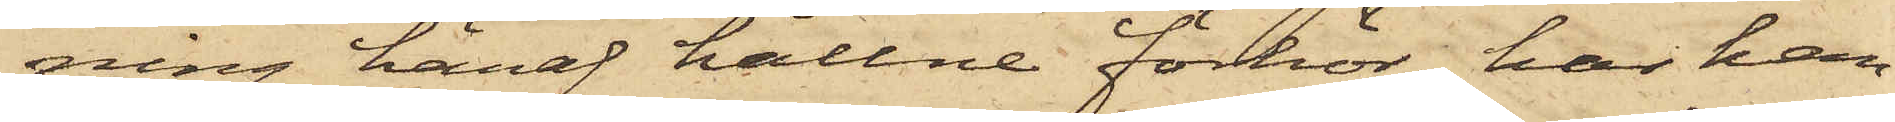ning häraf hållne förhör, har han
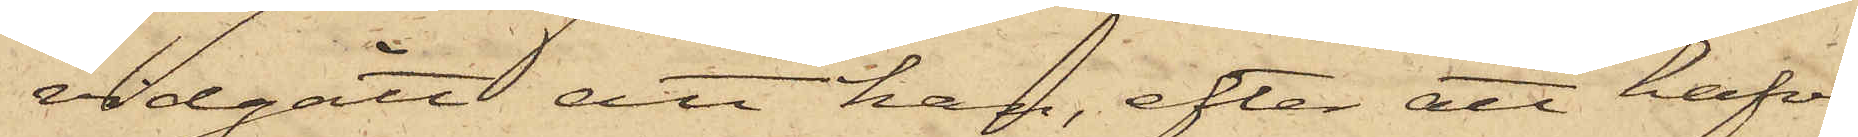vidgått att han, efter att hafva
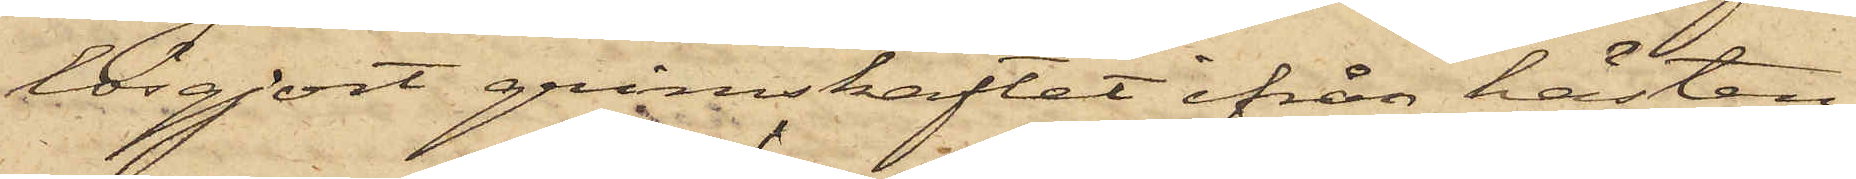lösgjort grimskaftet ifrån hästen,
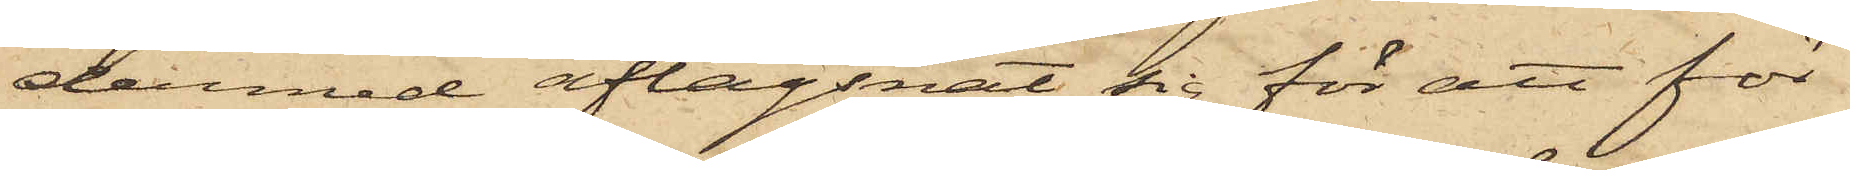dermed aflägsnat sig för att för
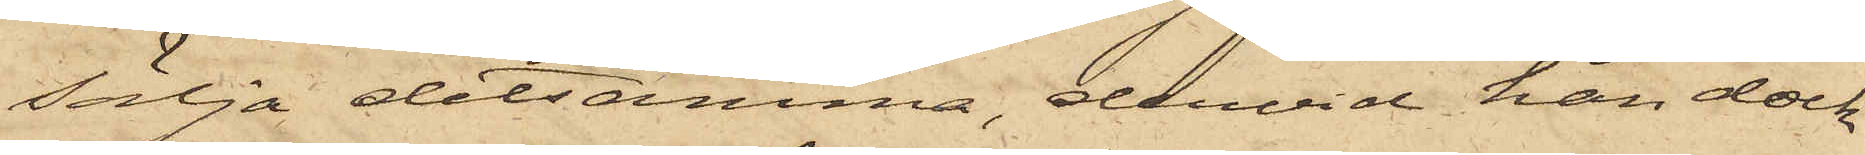sälja detsamma, dervid han dock
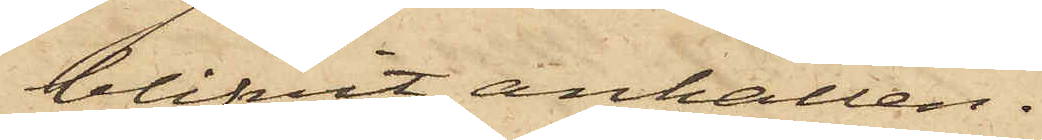blifvit anhållen.
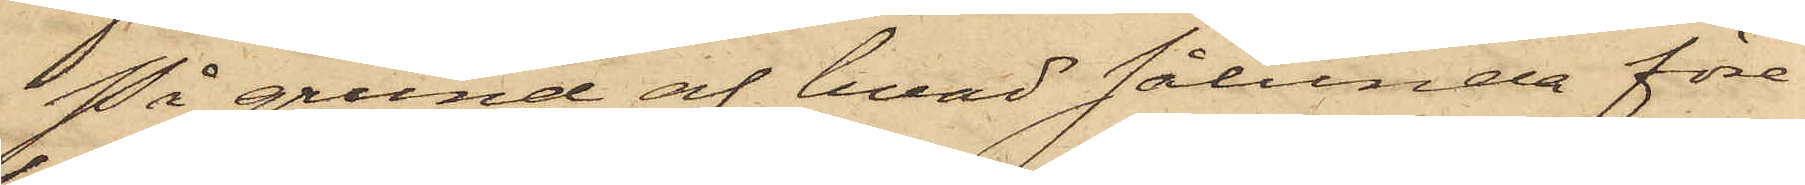På grund af hvad sålunda före¬
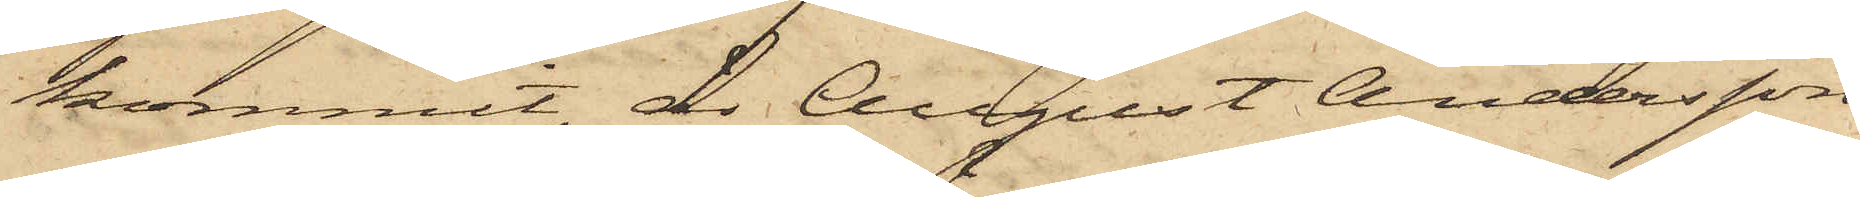kommit, är August Andersson
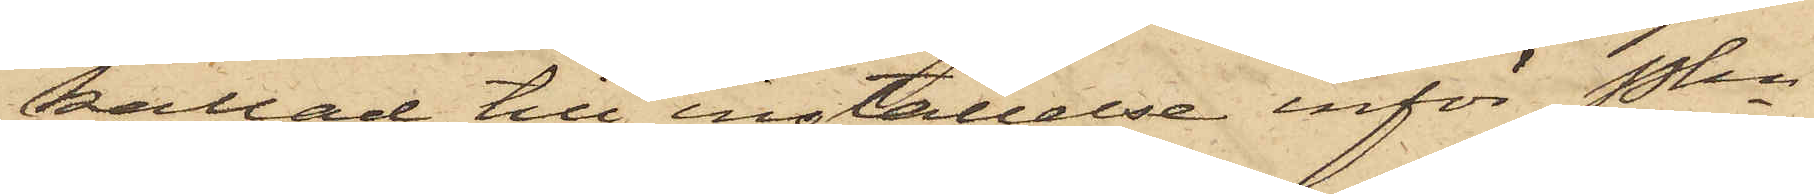kallad till inställelse inför Pkn
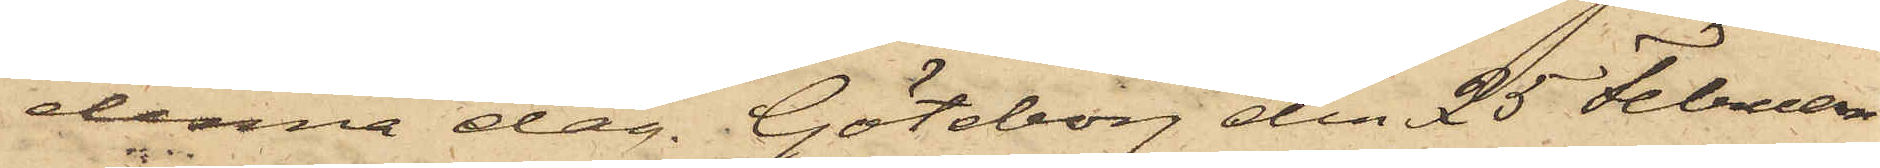denna dag. Göteborg den 25 Februari
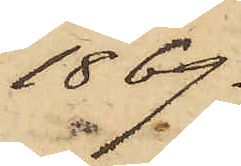1869.
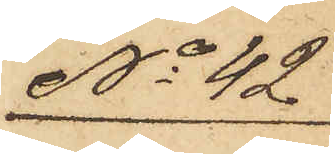No 42
